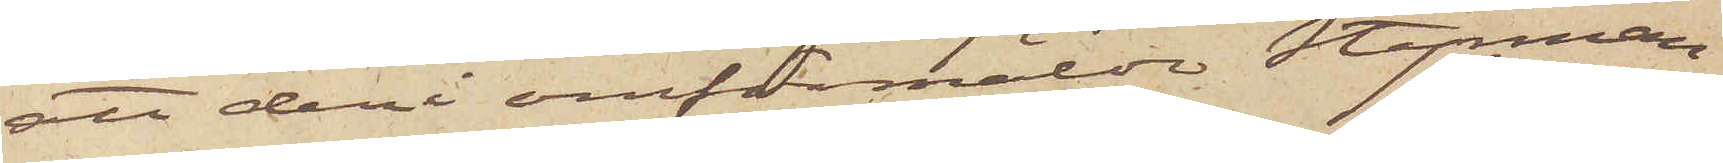att deri omförmälde Styrman¬
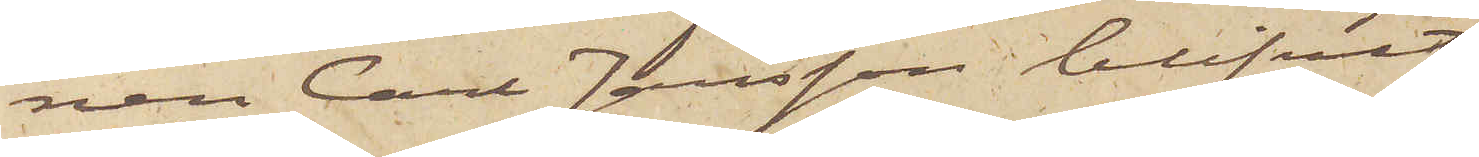nen Carl Jansson blifvit
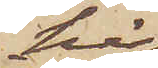här
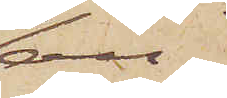an¬
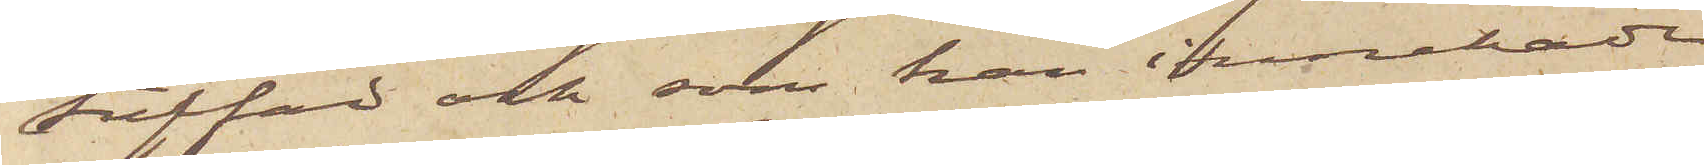träffad och som han innehade
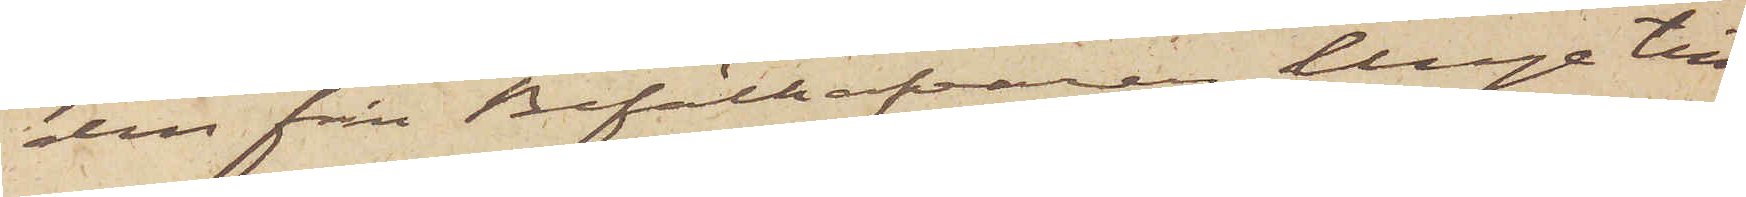den från Befälhafvaren Unge till¬
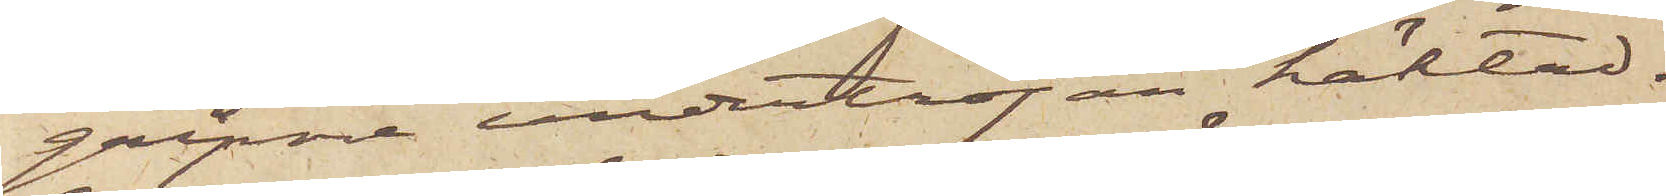gripne undertröjan häktad.
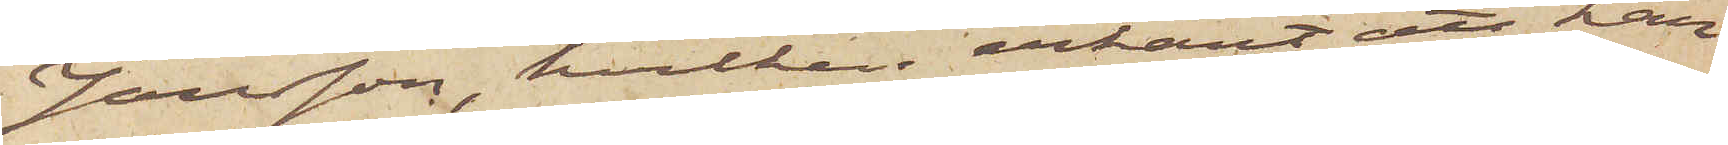Jansson, hvilken erkänt att han
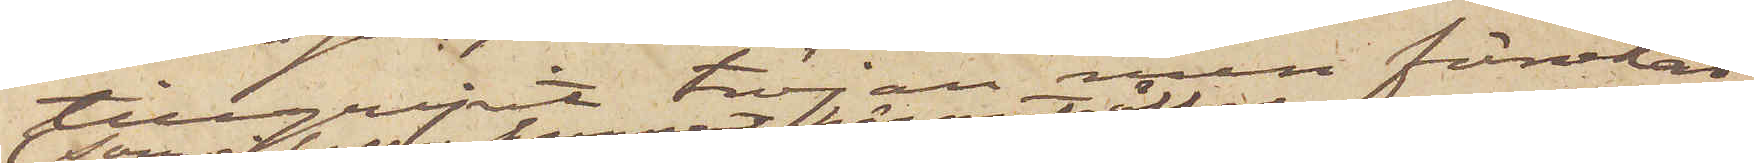tillgripit tröjan men förnekat
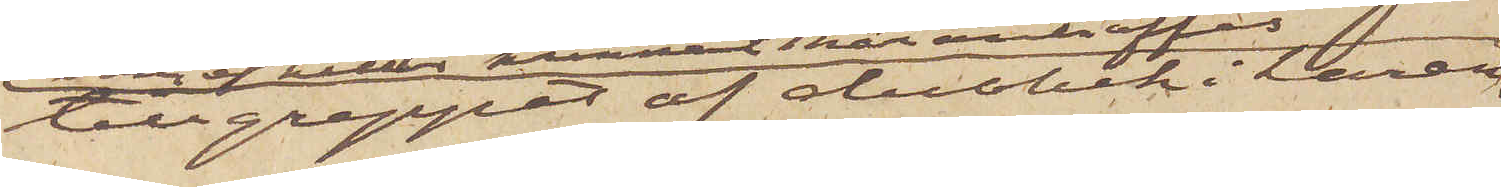tillgreppet af duobek i Laren
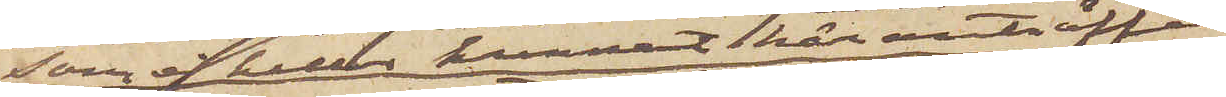som ej heller kunnat här anträffas
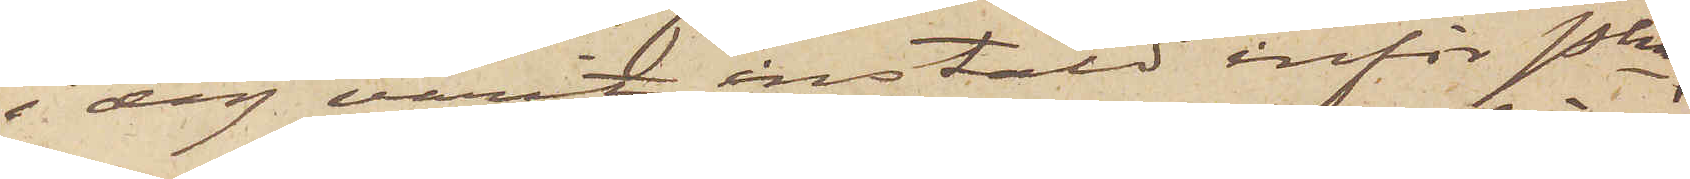i dag varit instäld inför Pkn,
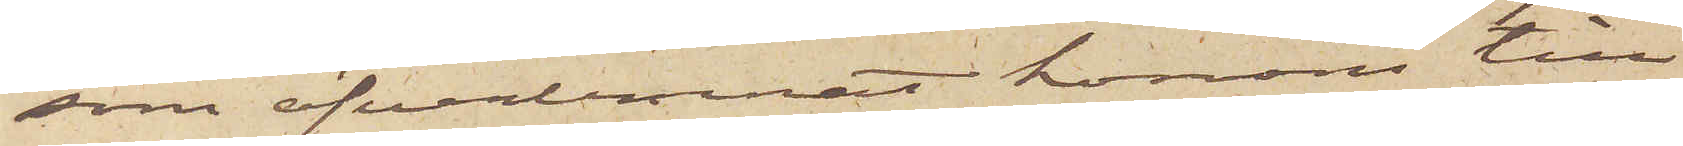som öfverlemnat honom till
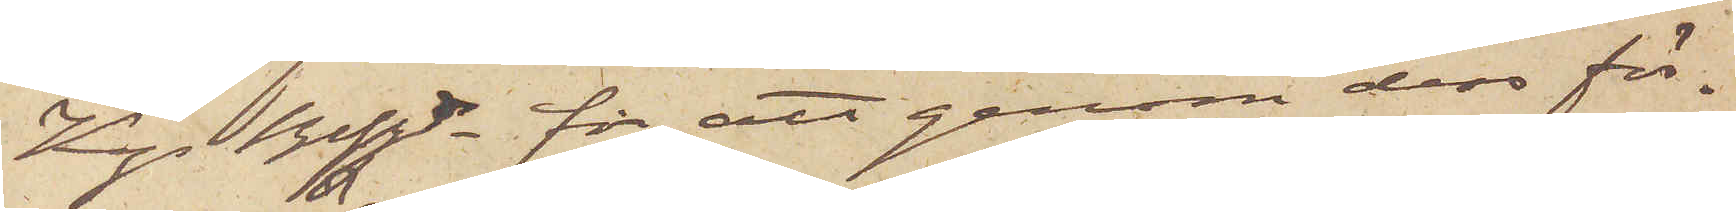Kgs Bfhde för att genom dess för¬
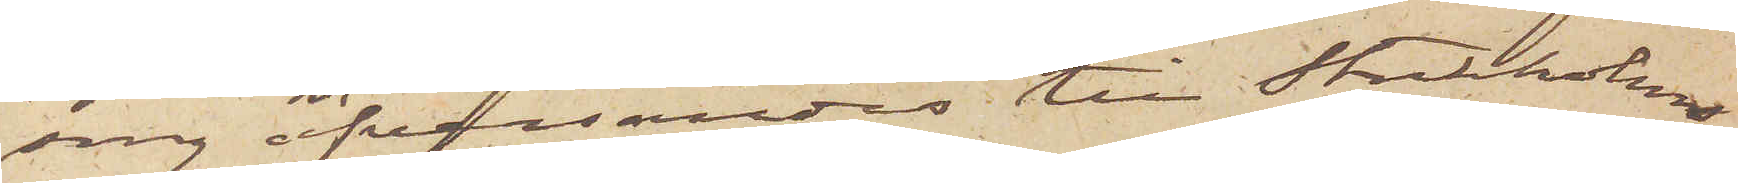sorg öfversändas till Stockholm
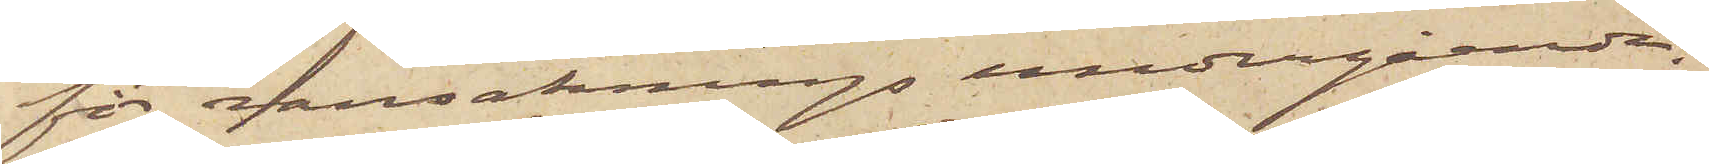för ransaknings undergående.
